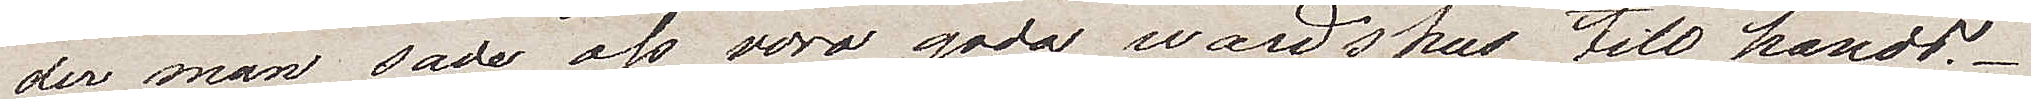der man sade oss vara goda wärdshus till hands.
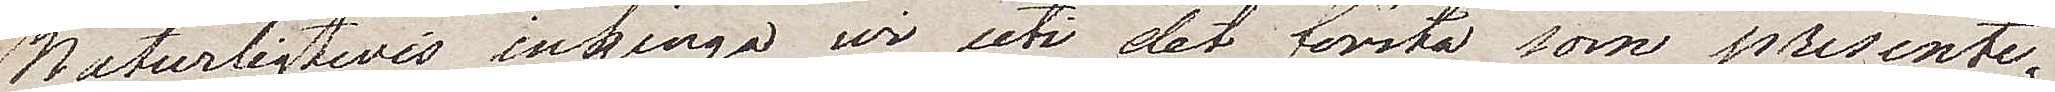- Naturligtvis ingingo wi uti det första som presente¬
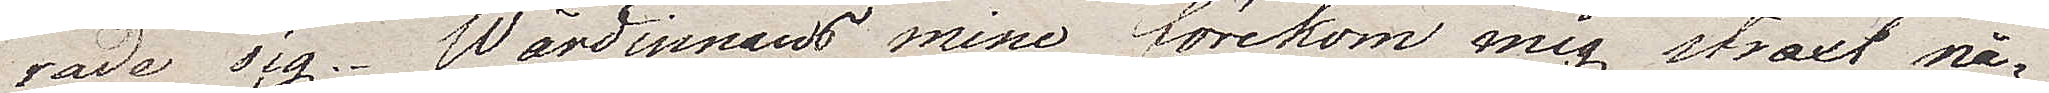rade sig. Wärdinnans min förekom mig straxt nå¬
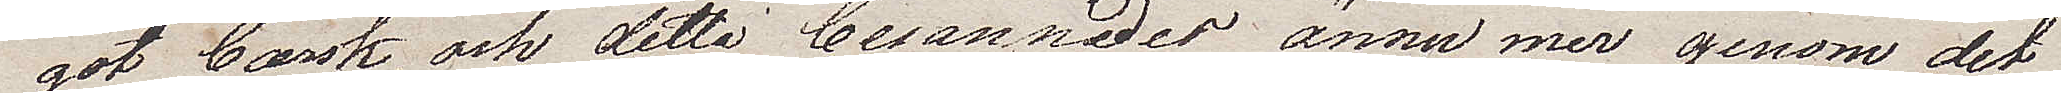got barsk, och detta besannades ännu mer genom det
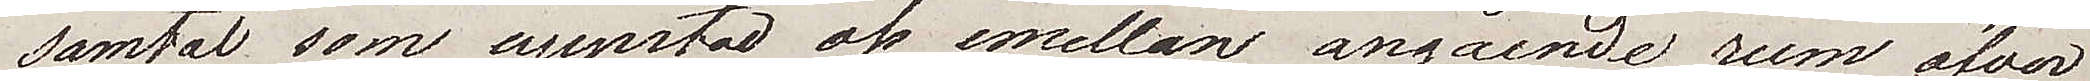samtal som uppstod oss emellan angående rum öfver
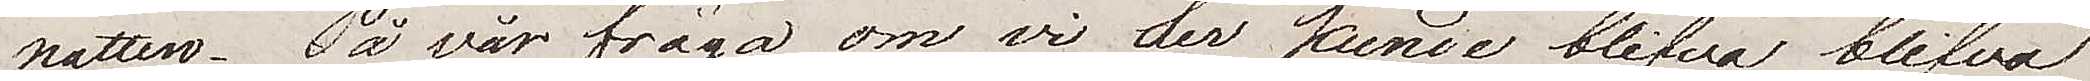natten. På vår fråga om vi der kunde blifva
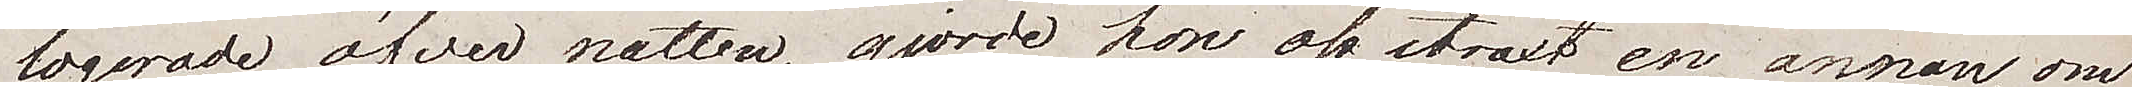logerade öfver natten, gjorde hon oss straxt en annan, om
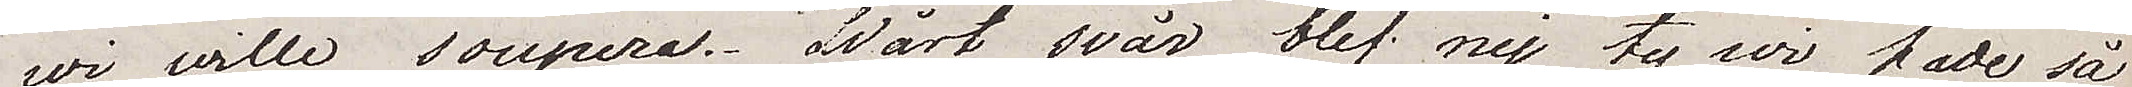wi wille soupera. Vårt svar blev nej, ty vi hade så
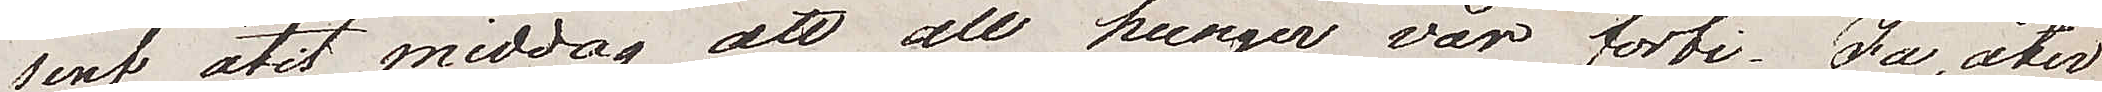sent ätit middag att all hunger var förbi. Ja, åter
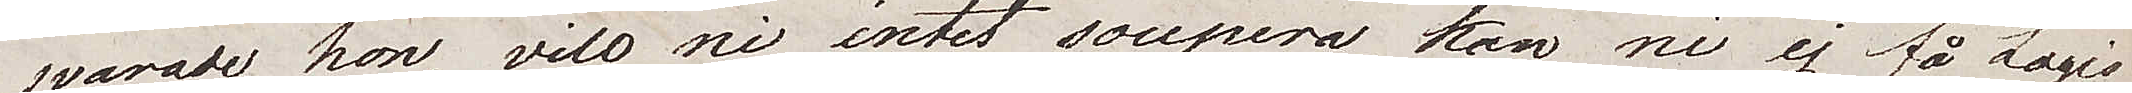svarade hon, vill ni intet soupera kan ni ej få Logis
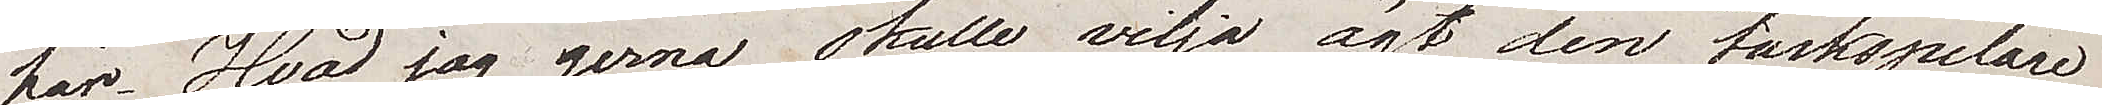här. Hvad jag gerna skulle vilja ägt den taskspelare 
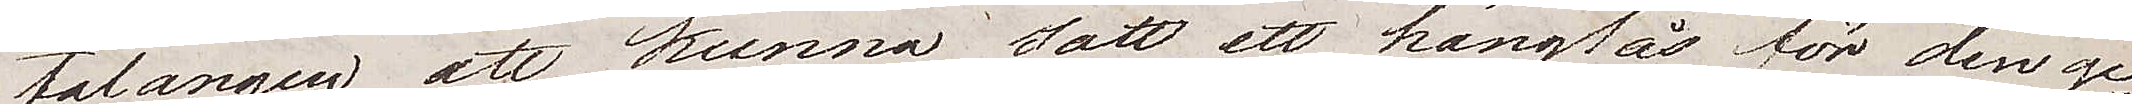talangen att kunna sätta ett hänglås för den ge¬
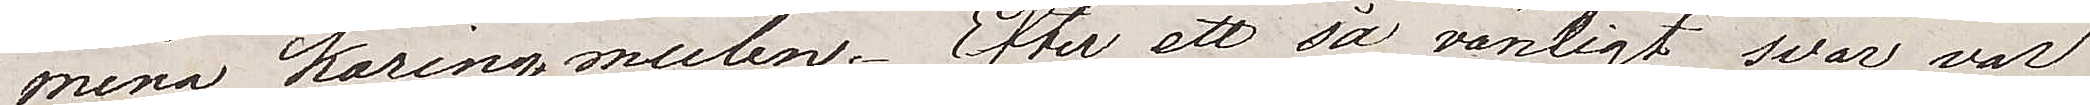mena käringmulen. Efter ett så vänligt svar, var
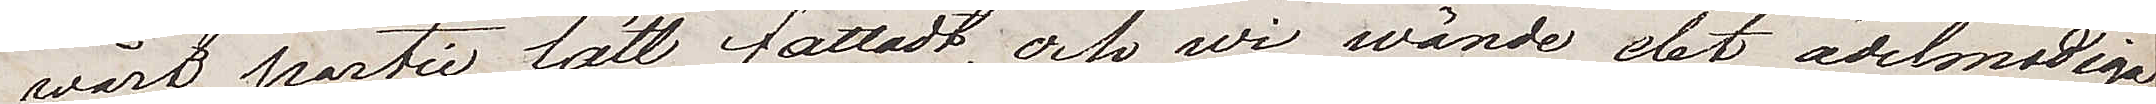vårt partie lätt fattadt, och vi  vände det ädelmodiga
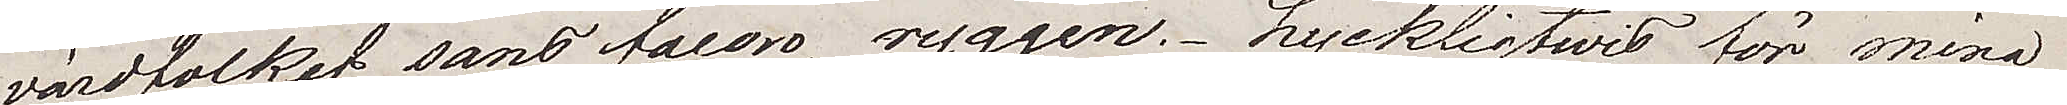värdfolket, sans facon, ryggen. Lyckligtwis för mina
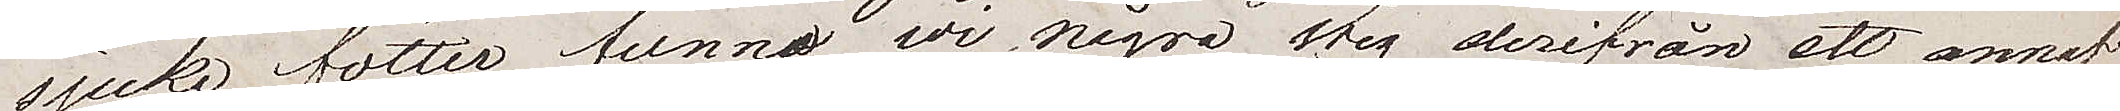sjuka fötter, funno wi några steg derifrån ett annat
